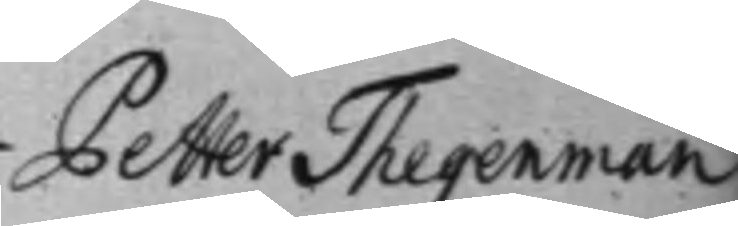Petter Thegenman
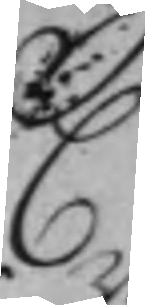C
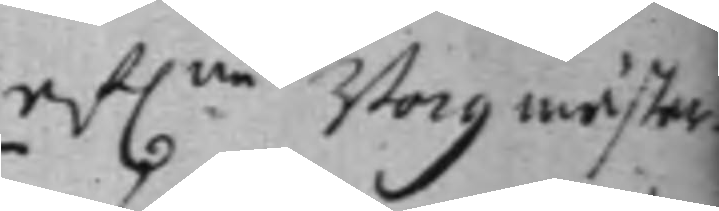af:ne Borgmästar¬
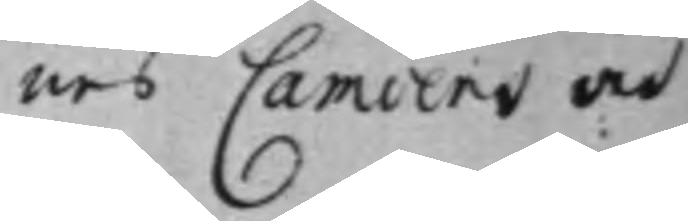nes Camoens och
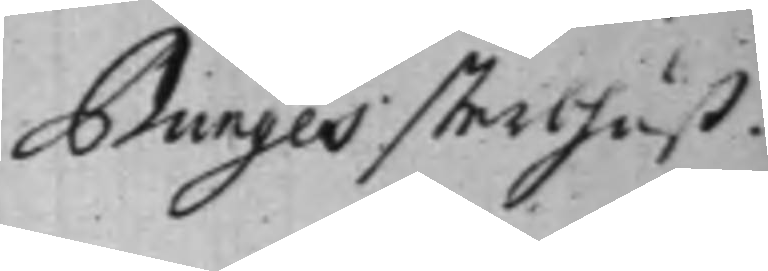Bunges sterbhuß.
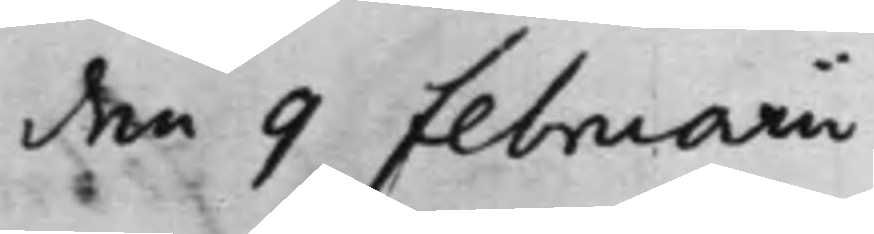den 9 Februarii
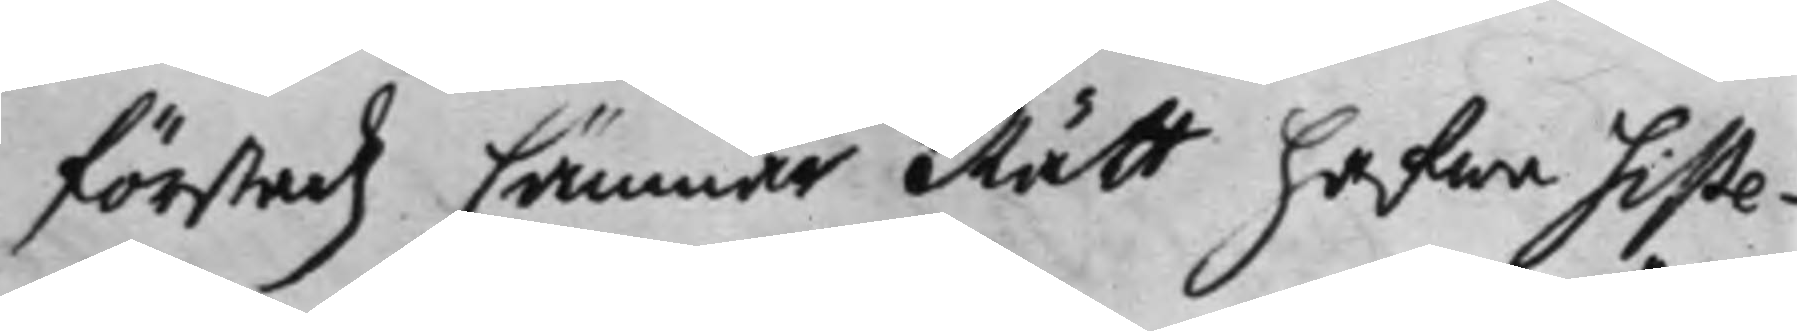förstadz Cämnär Rätt hafwa siste¬
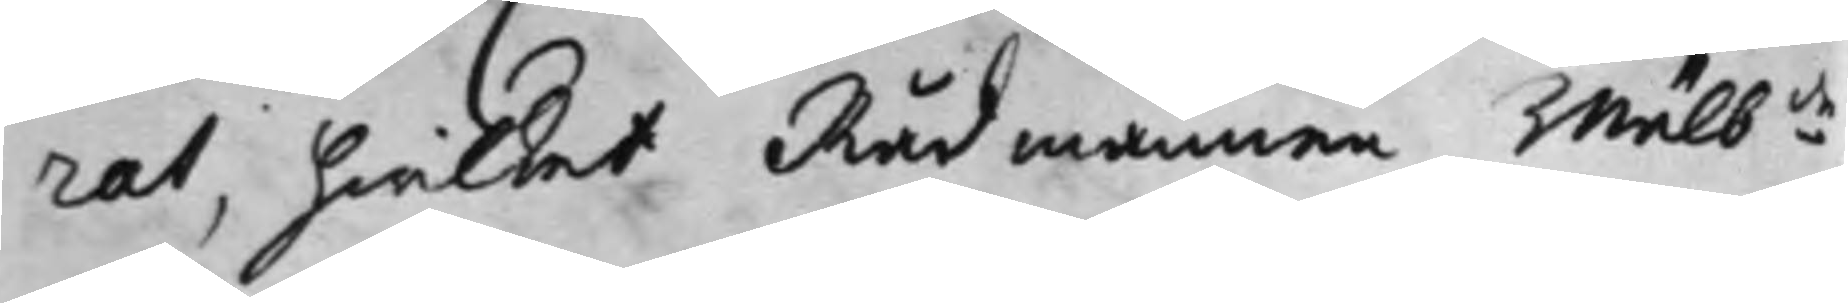rat, hwilket Rådmannen Wälb:de
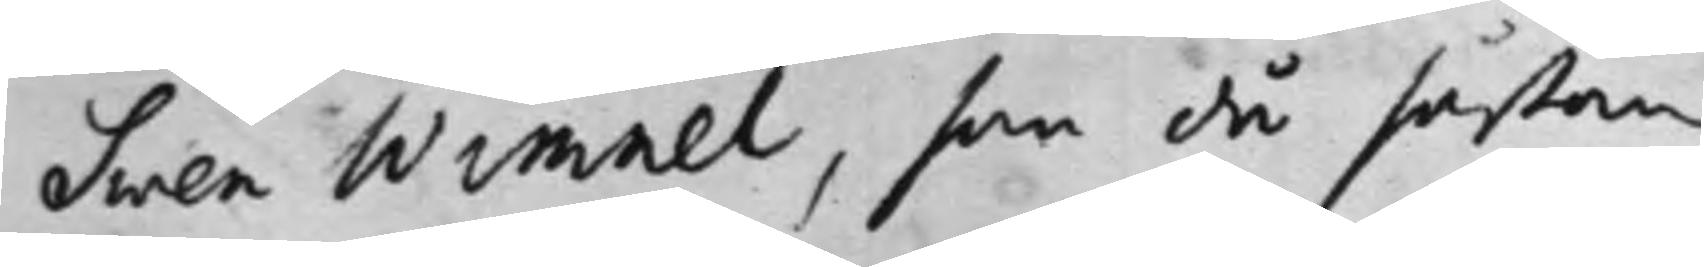Swen Wimnel, som då såßom
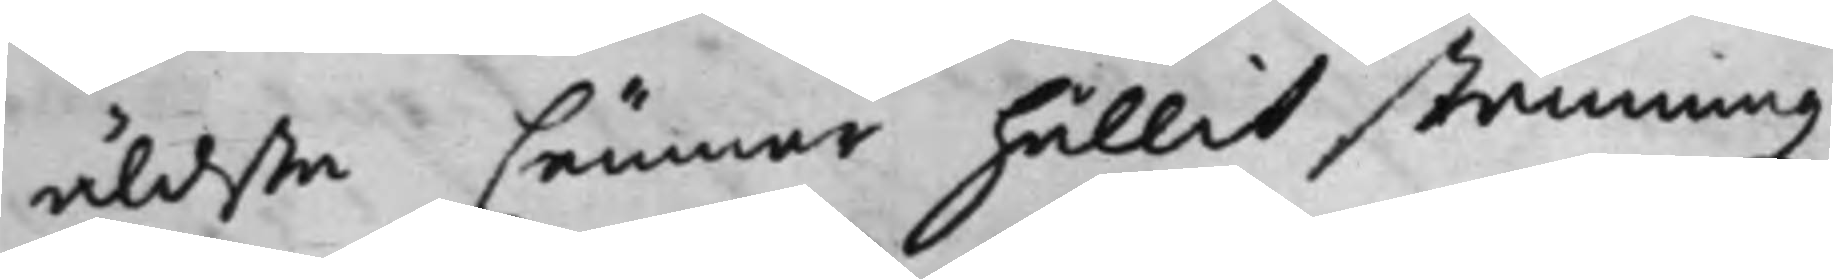äldsta Cämnär hållit stämningz
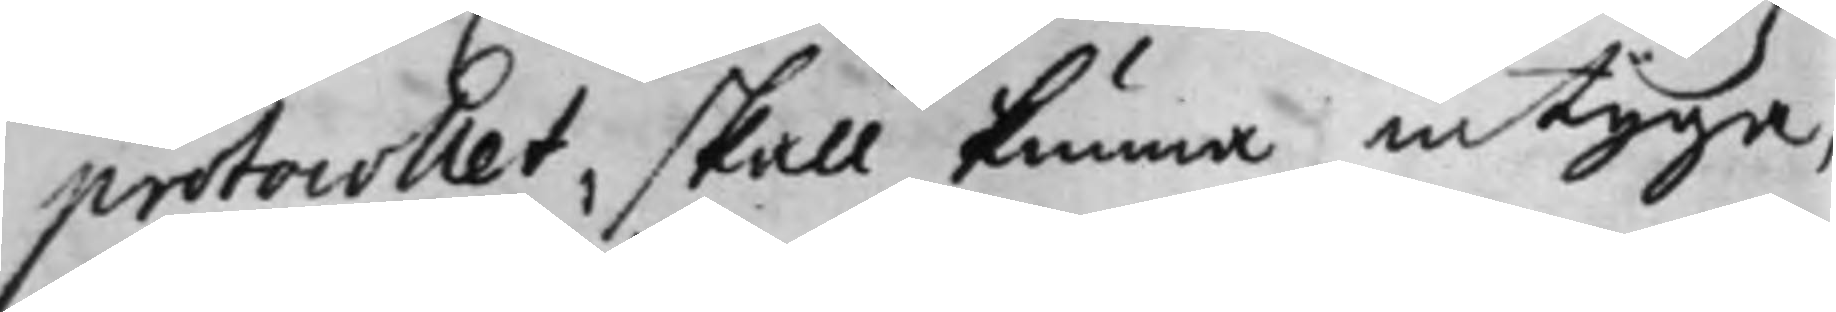protocollet, skall kunna intyga,
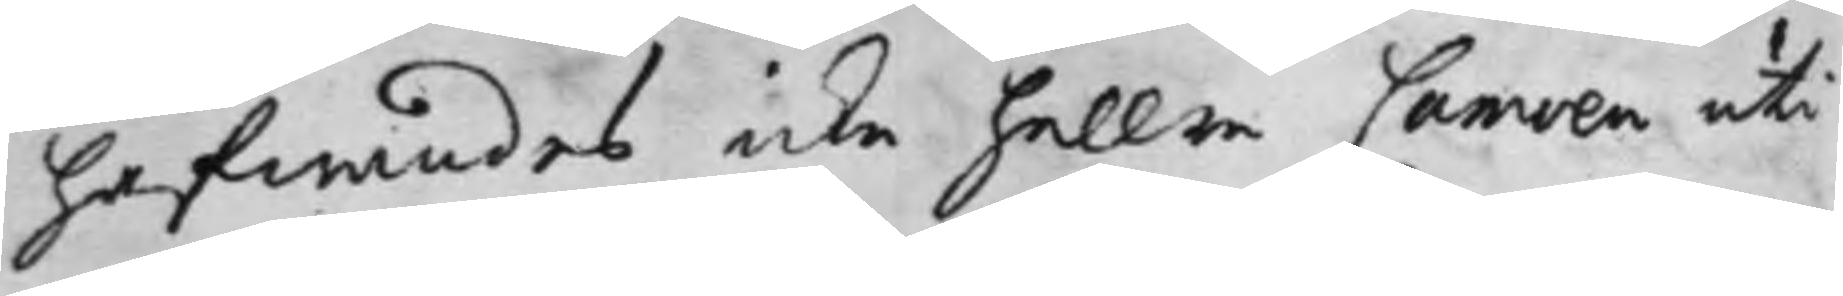hafwandes icke heller Camoen uti
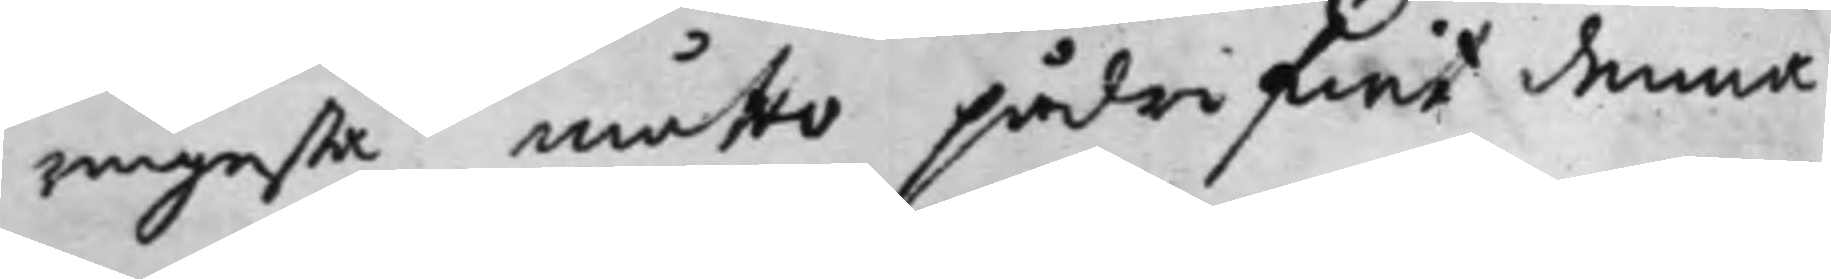ringesta måtto pådrifwit denna
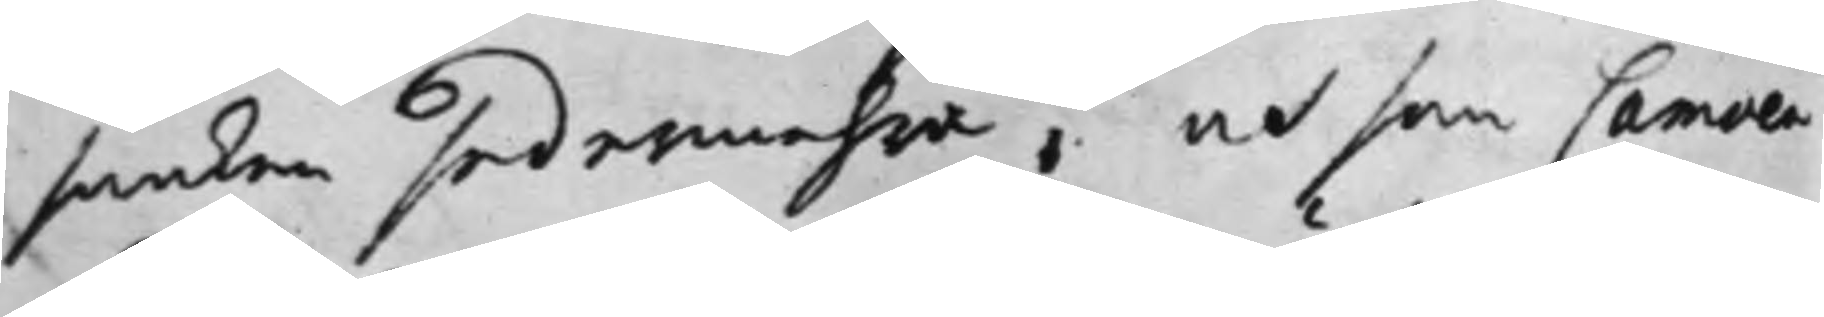saaken sedermehra, at som Camoen
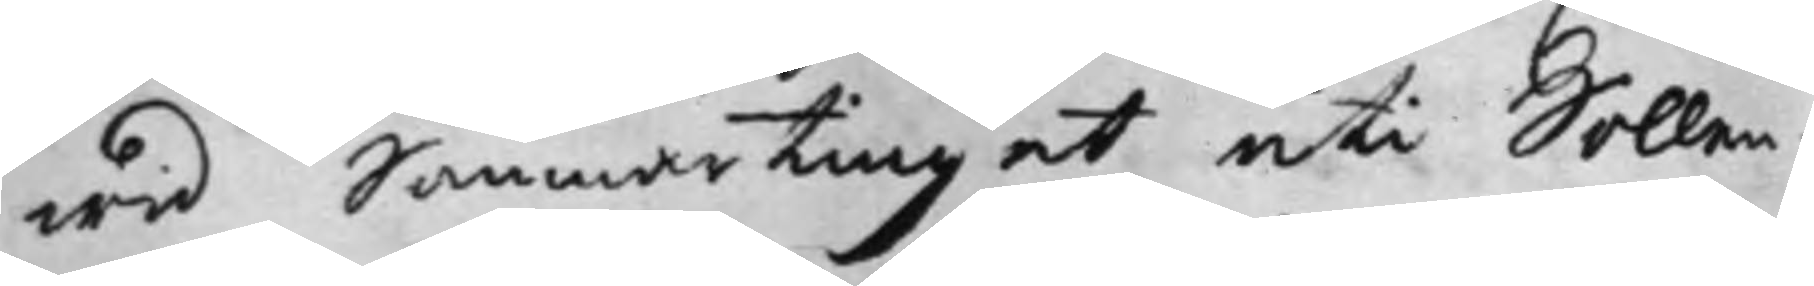wid Sommartinget uti Sollen¬
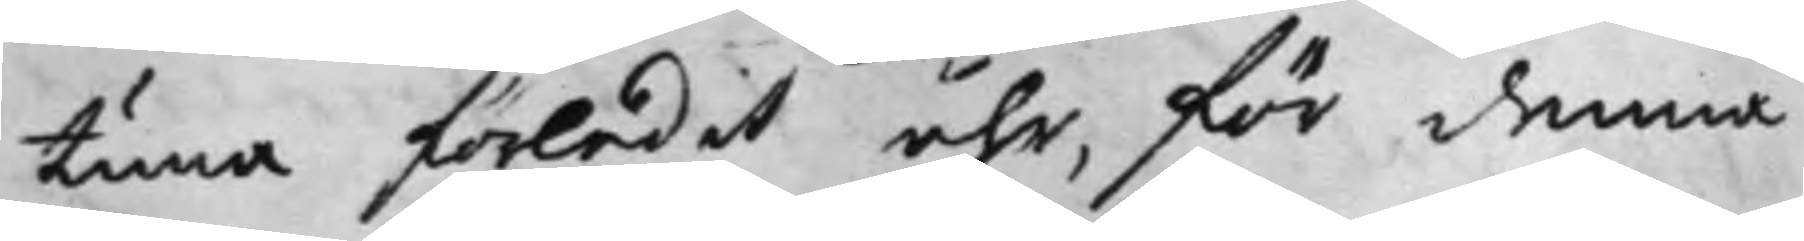tuna förledit åhr, för denna
